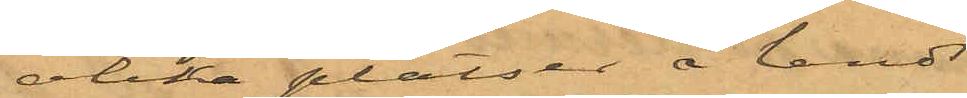olika platser å lands¬
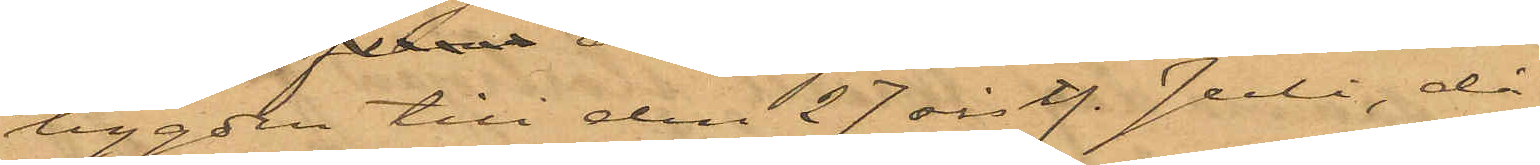bygden till den 27 sist. Juli, då
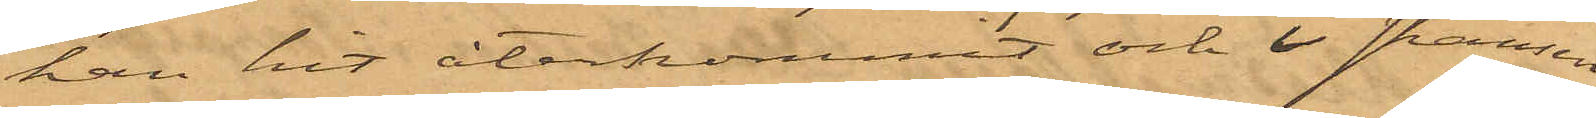han hit återkommit och i skansen
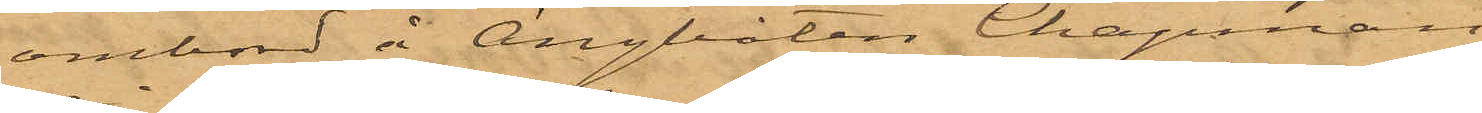ombord å Ångbåten Chapman
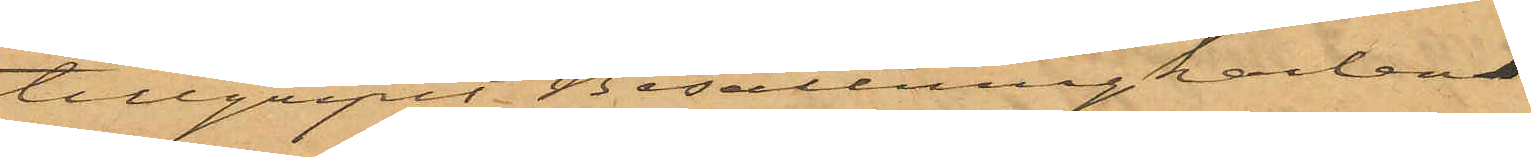tillgripit Besättningkarlen
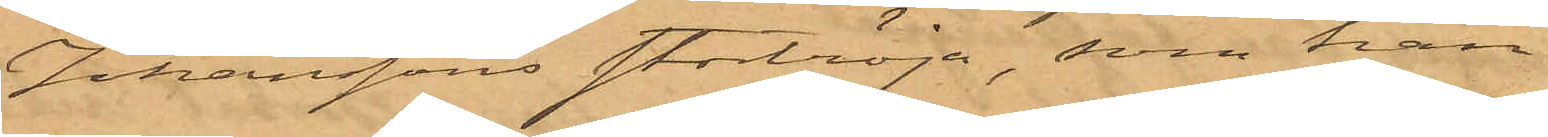Johanssons stortröja, som han
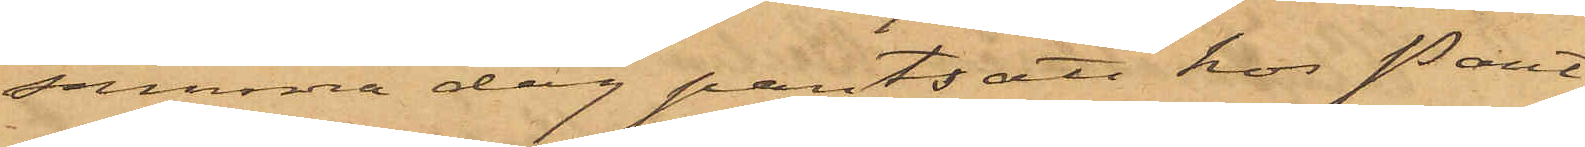samma dag pantsatt hos Pant¬
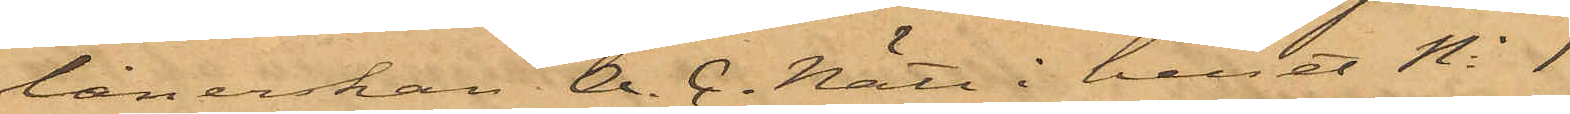lånerskan A. C. Nätt i huset No 1
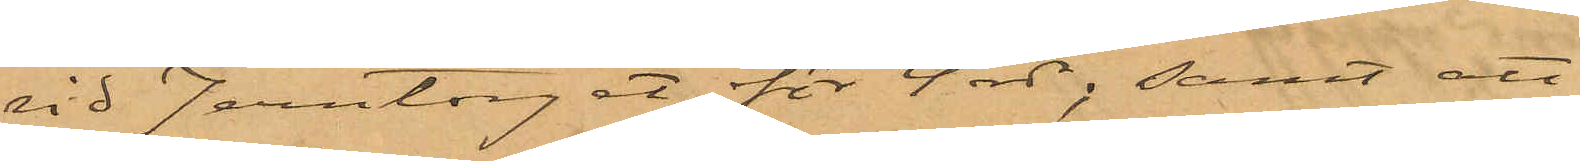vid Jerntorget för 4 rdr; samt att
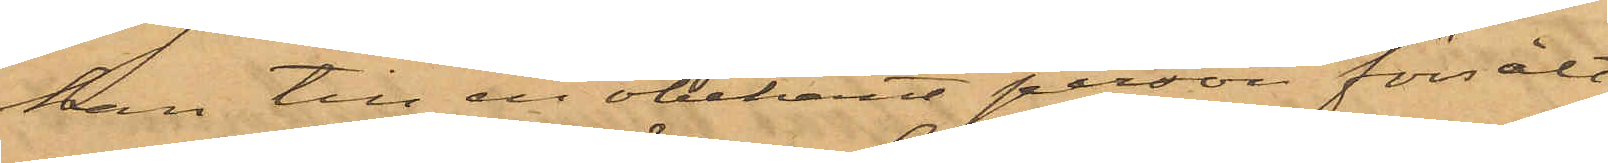han till en obekant person försålt
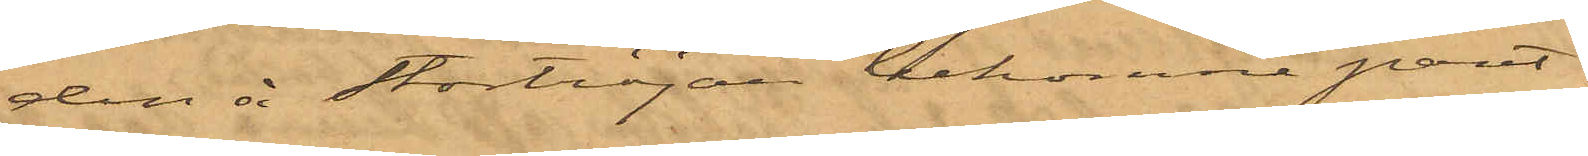den å stortröjan bekomne pant¬
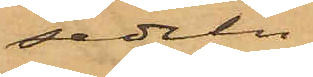sedeln.
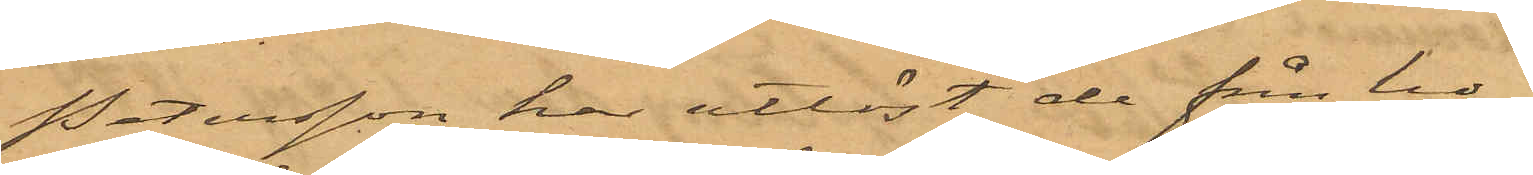Petersson har utlöst de från ho¬
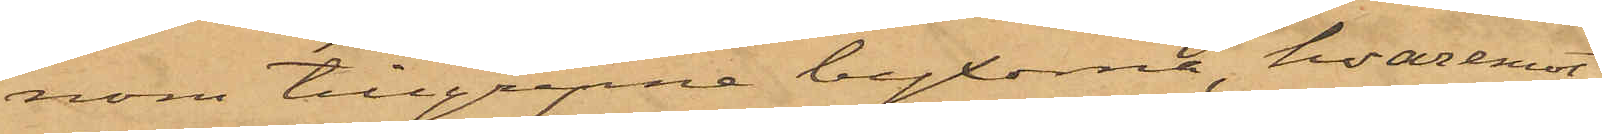nom tillgripne byxorna, hvaremot
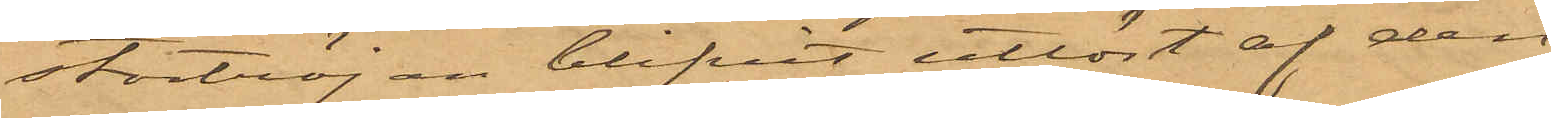stortröjan blifvit utlöst af den
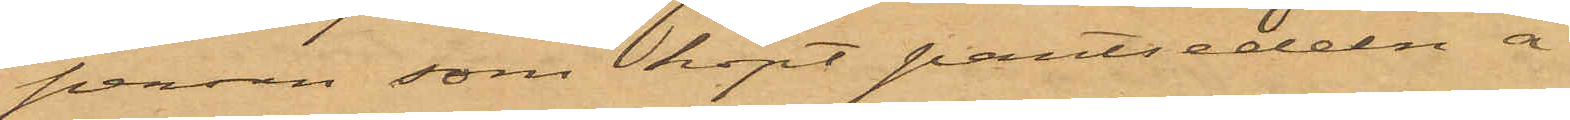person, som köpt pantsedeln å
